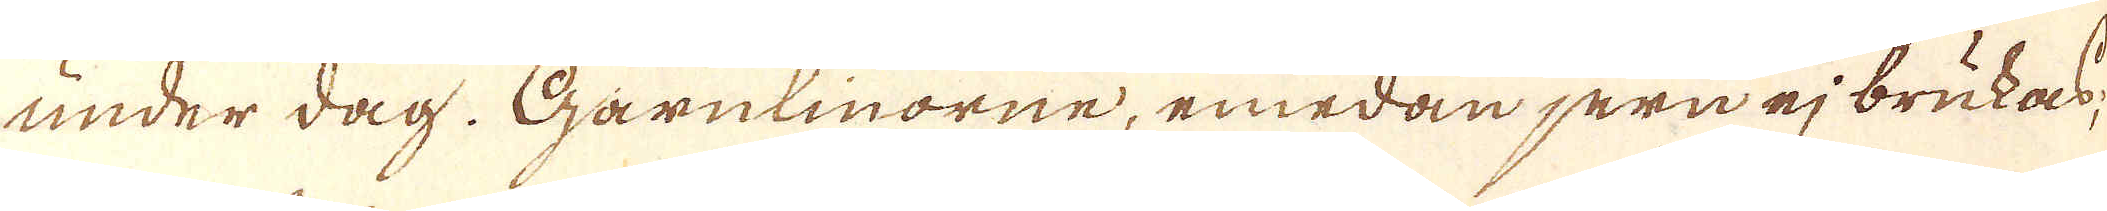under dag. Garnlinorne, emedan jern ej brukas;
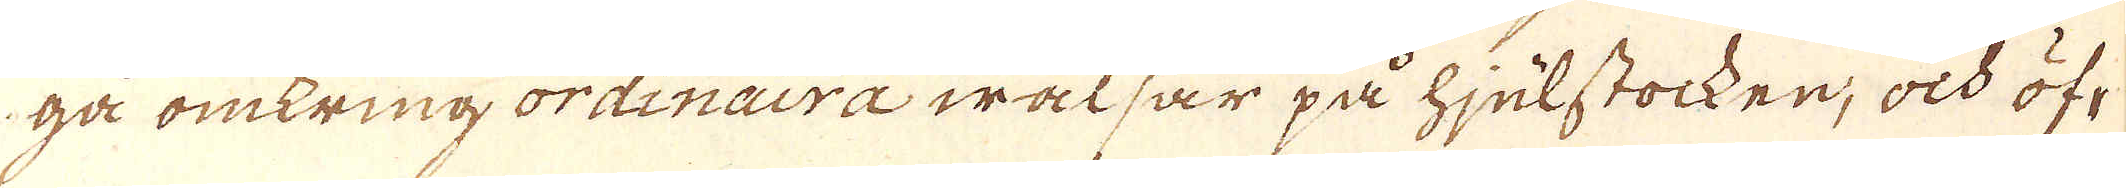gå omkring ordinaira walsar på hjulstocken, ock öf-
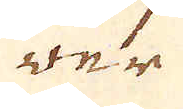wer
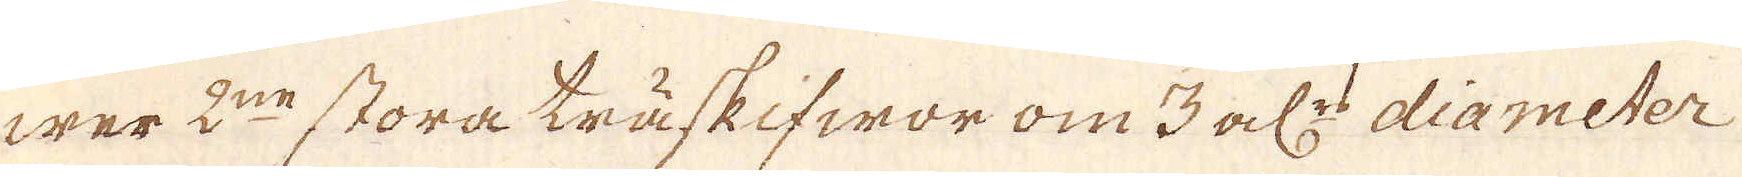wer 2:ne stora träskifwor om 3 al:rs diameter
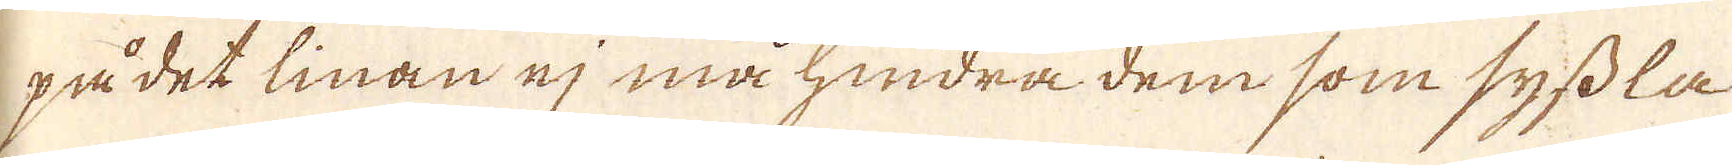på det linan ej må hindra dem som syssla-
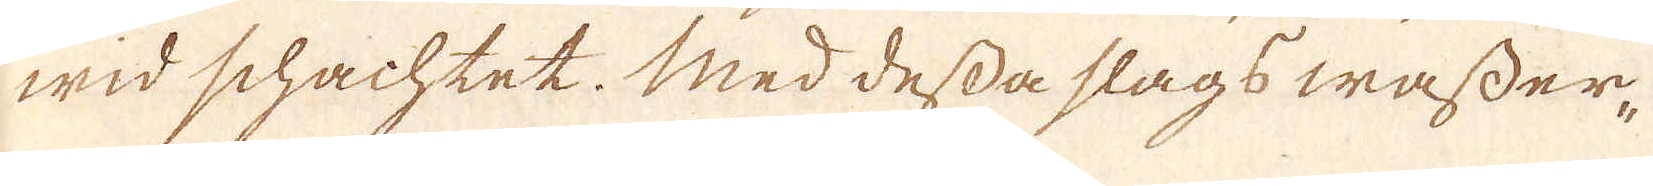wid schachtet. Med dessa slags wasser-
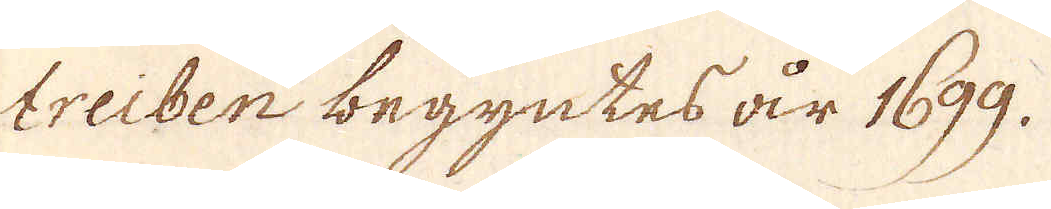treiben begyntes år 1699.
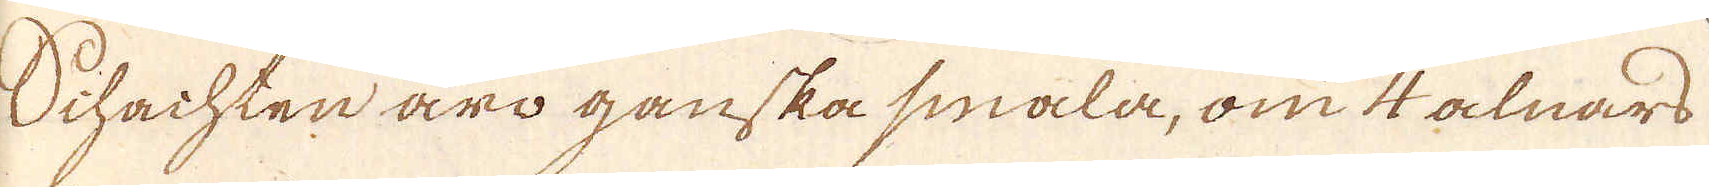Schachten äro ganska smala, om 4 alnars
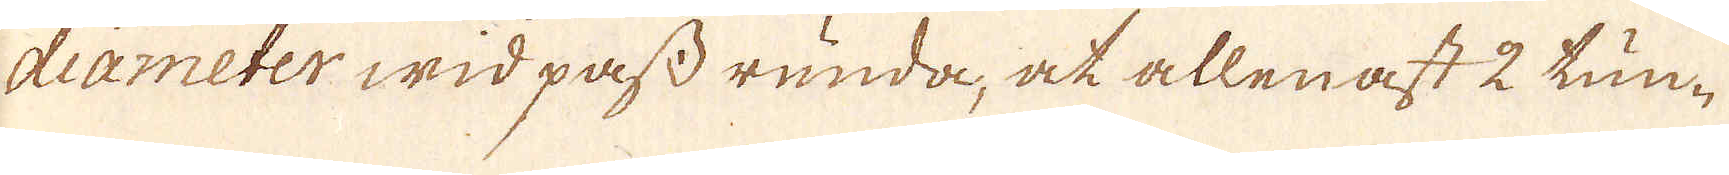diameter wid pass runda, at allenast 2 tun-
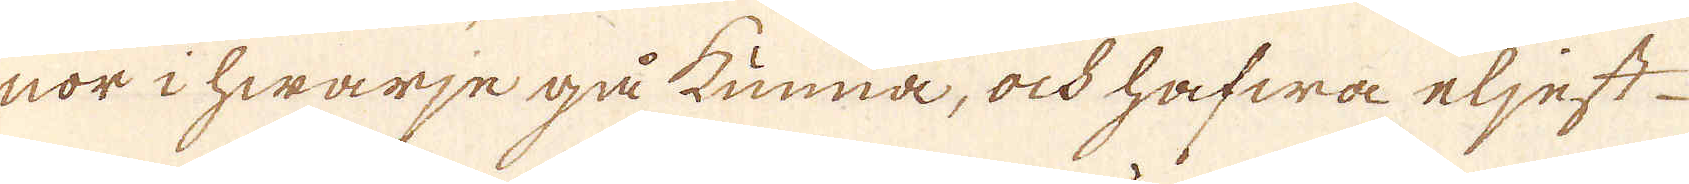nor i hwarje gå kunna, ock hafwa eljest
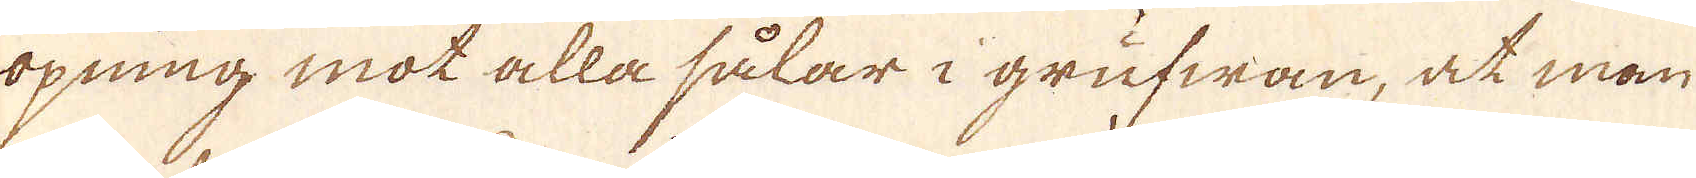öpning mot alla sålar i grufwan, at man
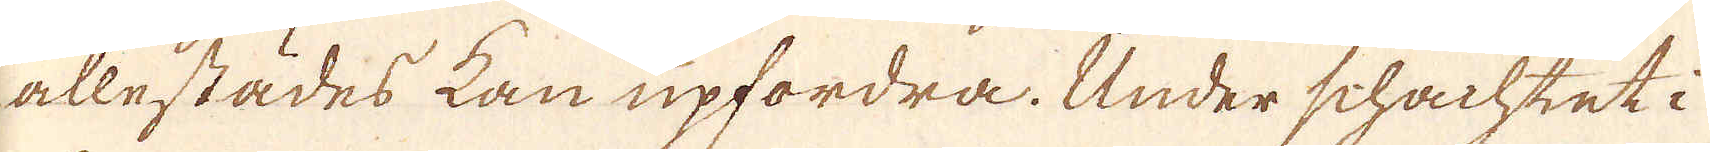allestädes kan upfordra. Under schachtet i
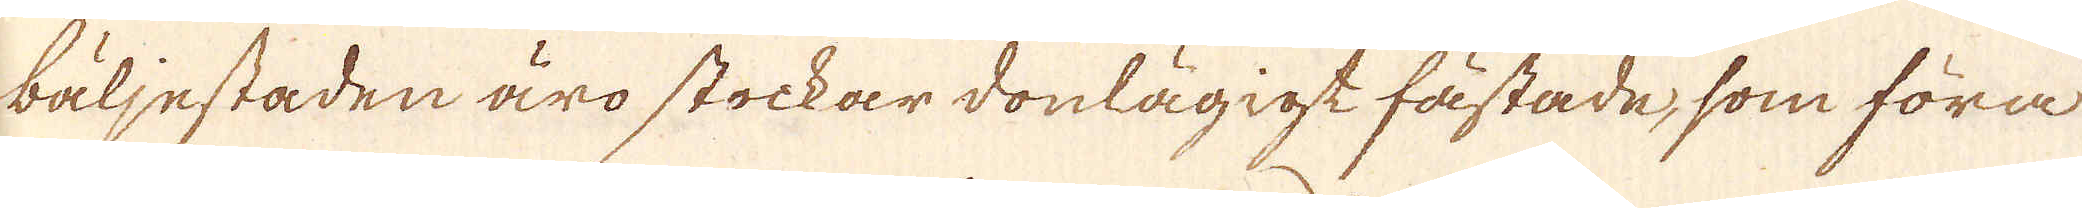bäljestaden äro stockar donlägigt fästade, som föra
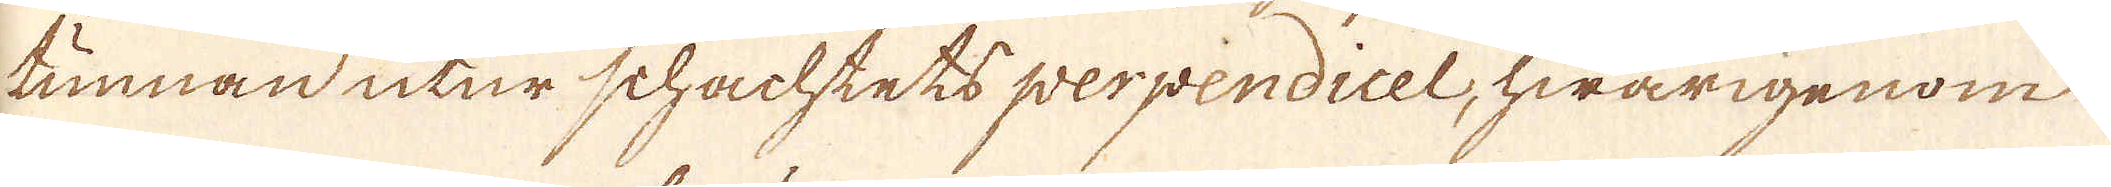tunnan utur schachtets perpendicel, hwarigenom
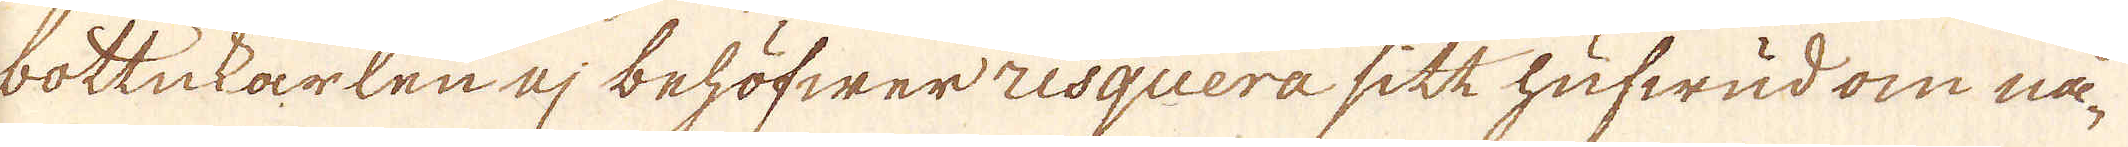bottukarlen ej behöfwer risquera sitt hufwud om nå-
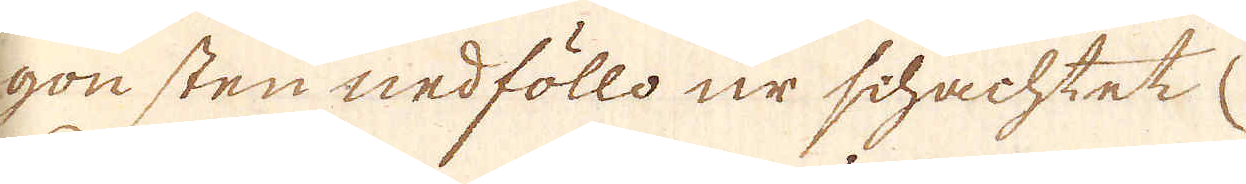gon sten nedföllo ur schachtet
